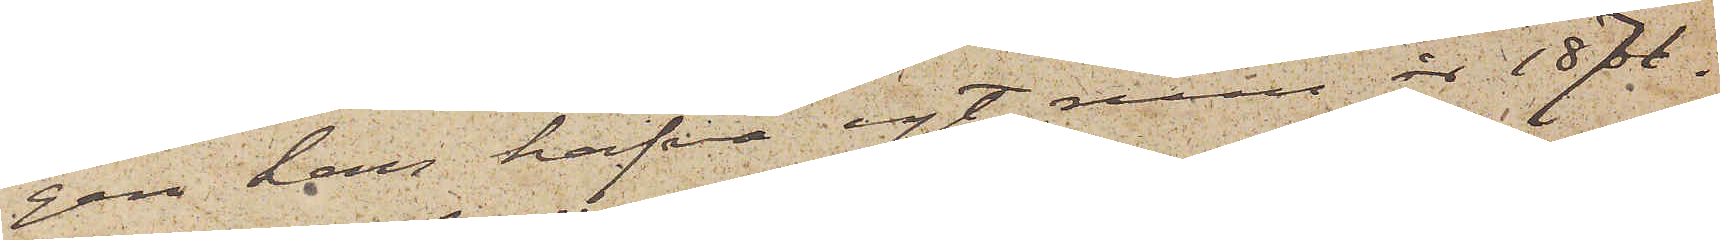gen kan hafva egt rum år 1871.
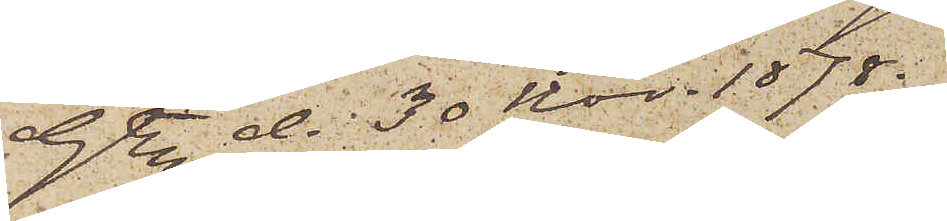Gbg d. 30 Nov. 1878.
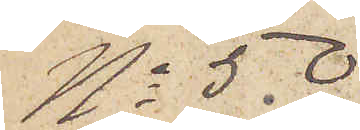No 50
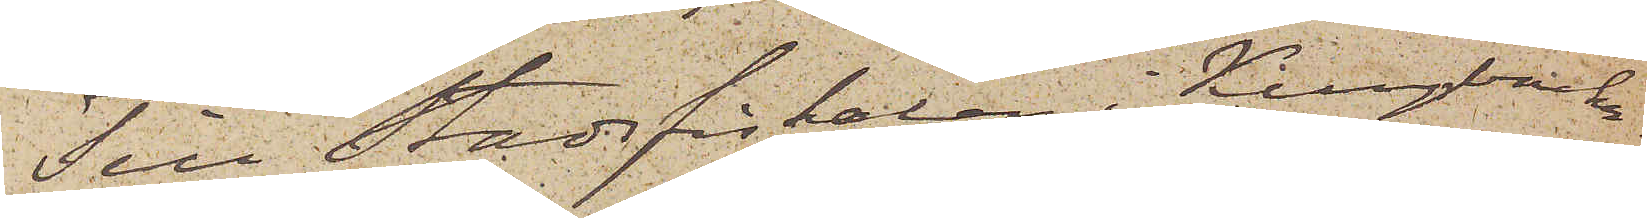Till Stadsfiskalen i Kungsbacka
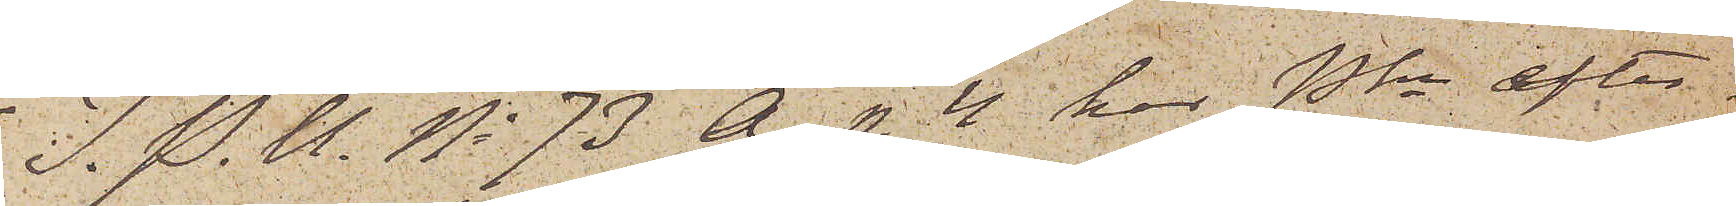I. P. U. No 73 A. p. 4 har Pkn efter¬
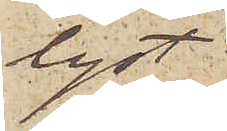lyst
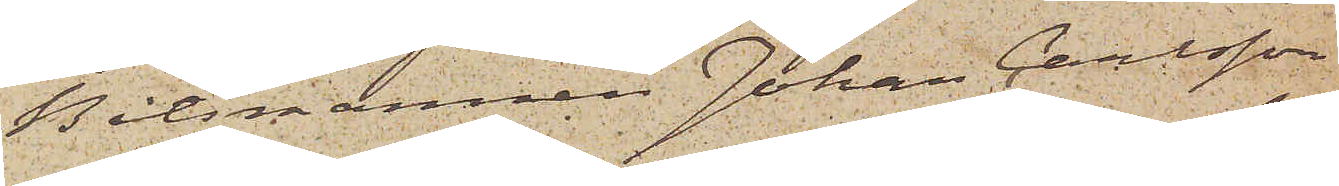Båtsmannen Johan Carlsson
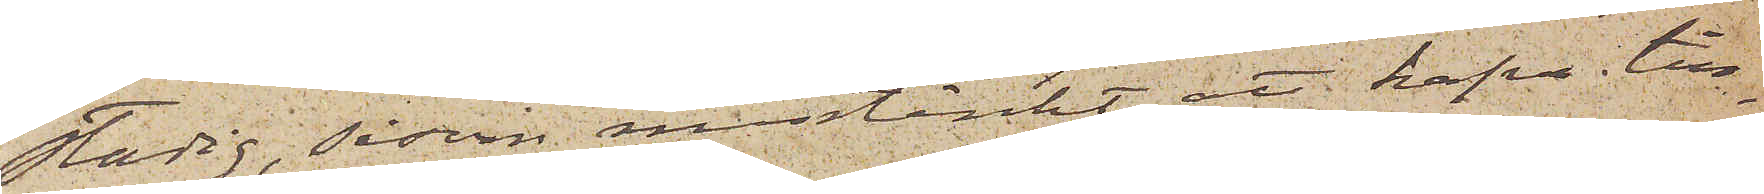Stadig, såsom misstänkt att hafva till¬
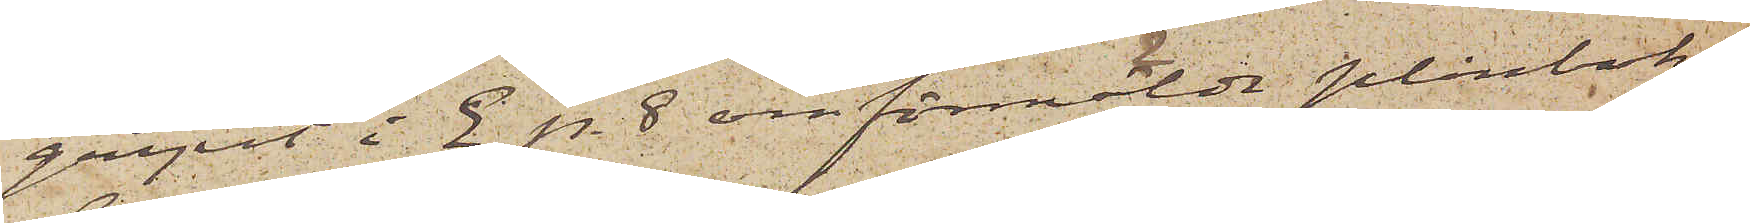gripit i E p. 8 omförmälde plånbok,
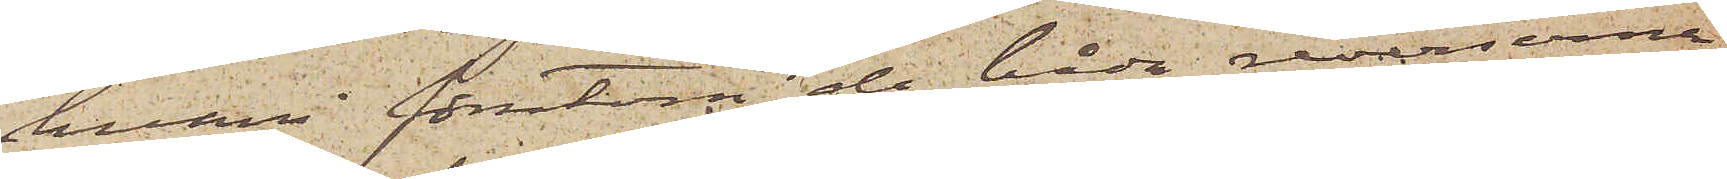hvari förutom de båda reverserna
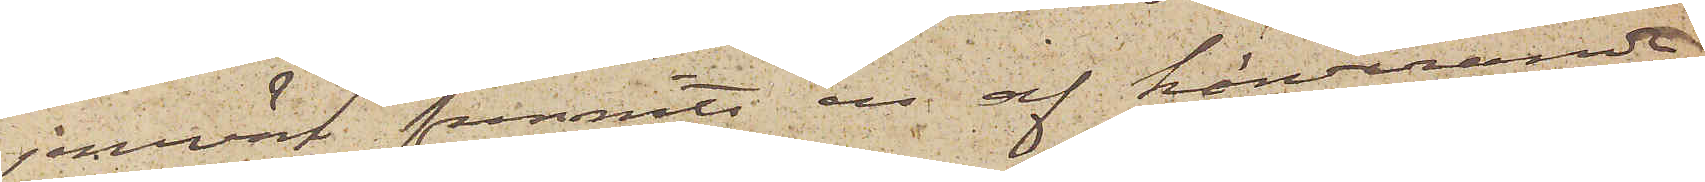jemväl funnits en af härvarande
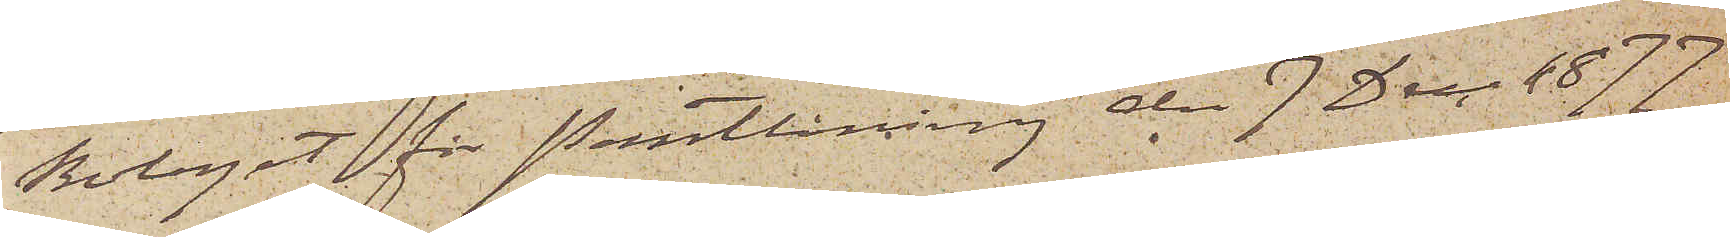Bolaget för Pantlåning den 7 Dec. 1877
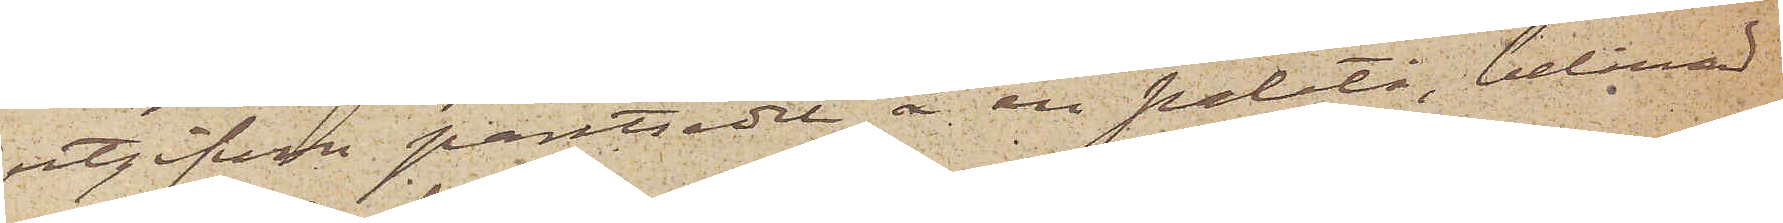utgifven pantsedel å en paletå, belånad
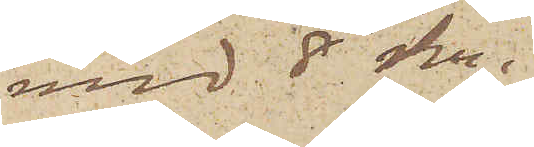med 8 kr.
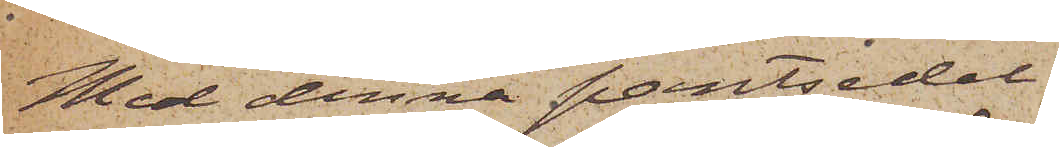Med denna pantsedel
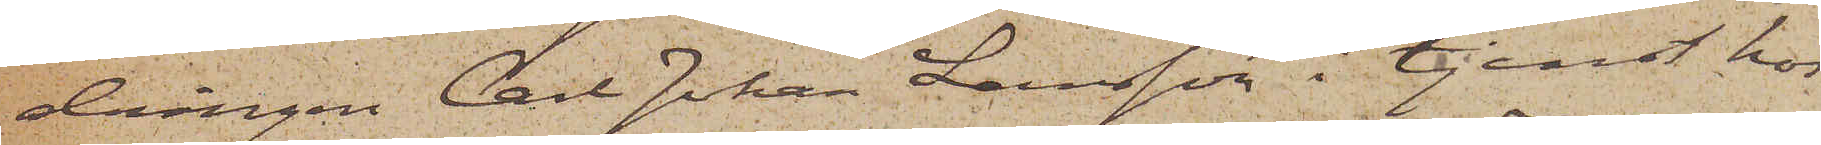drängen Carl Johan Larsson i tjenst hos
